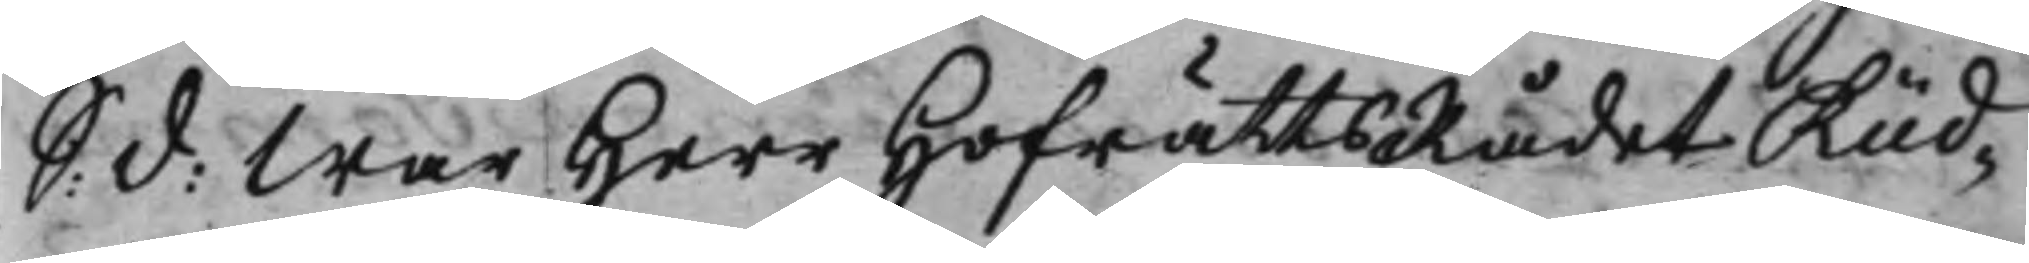S: d: War Herr HofrättsRådet Rüd¬
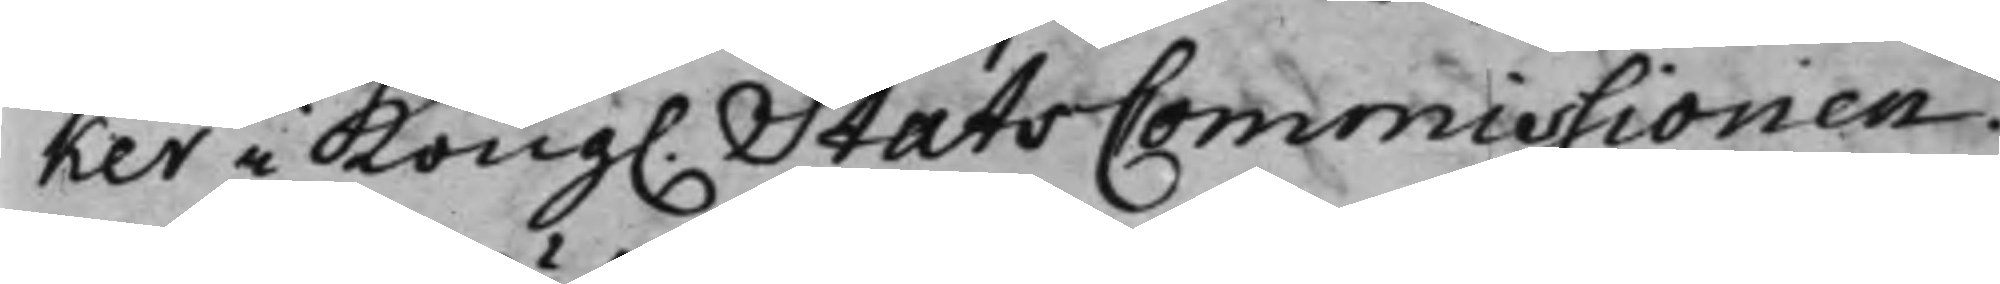ker i Kong. StatsCommissionen.
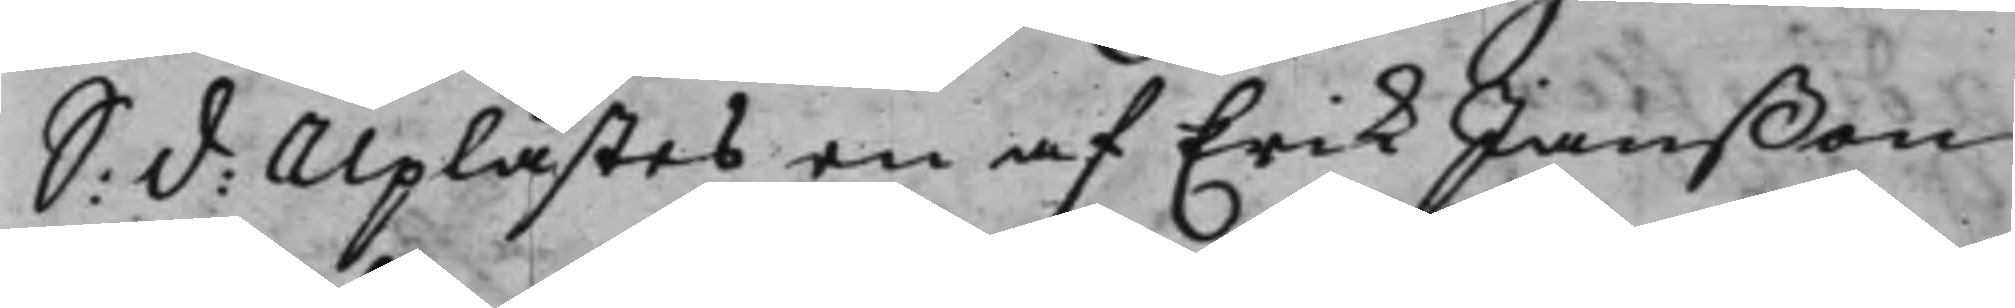S: d: Uplästes en af Erik Janßon
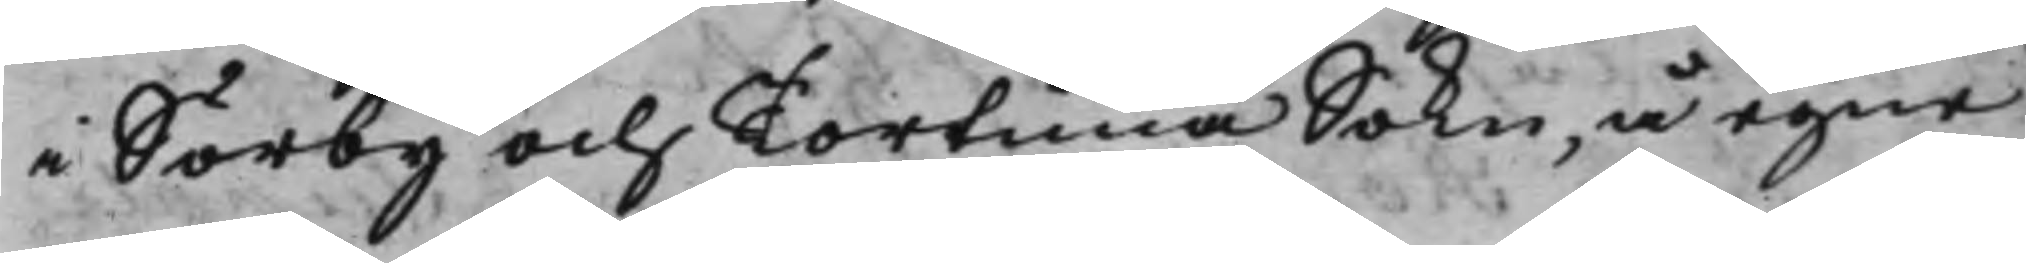i Sörby och Tortuna Sokn, å egne
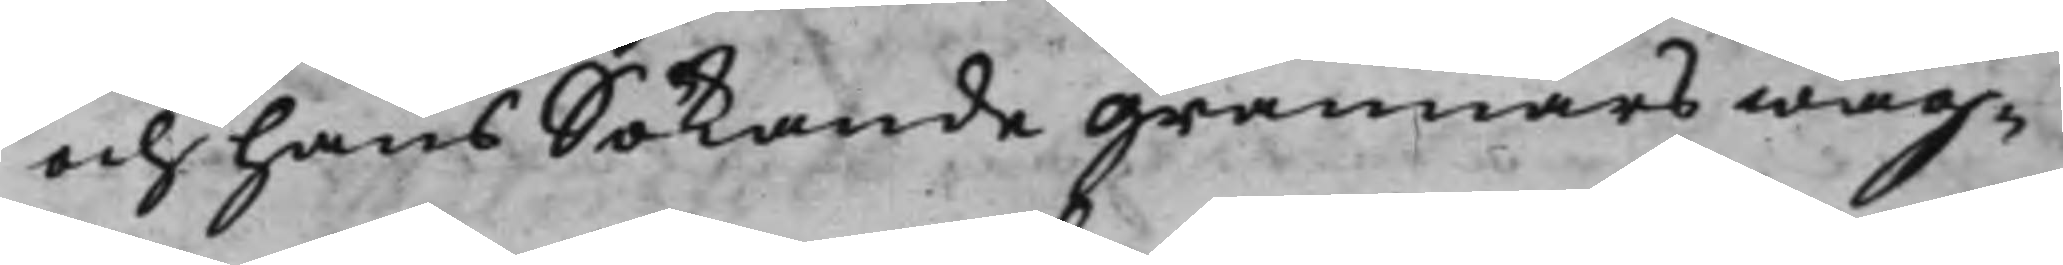och hans Sökande grannars wäg¬
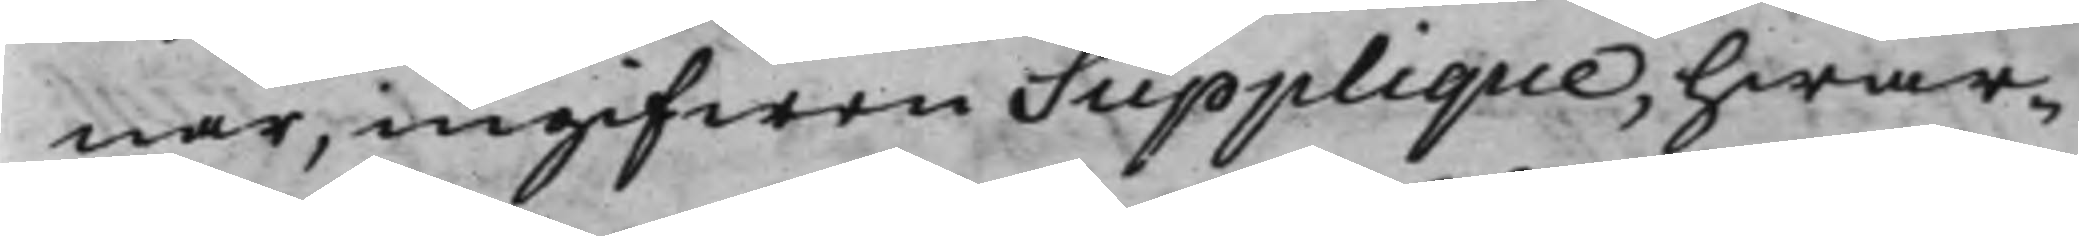nar, ingifwen Supplique, hwar¬
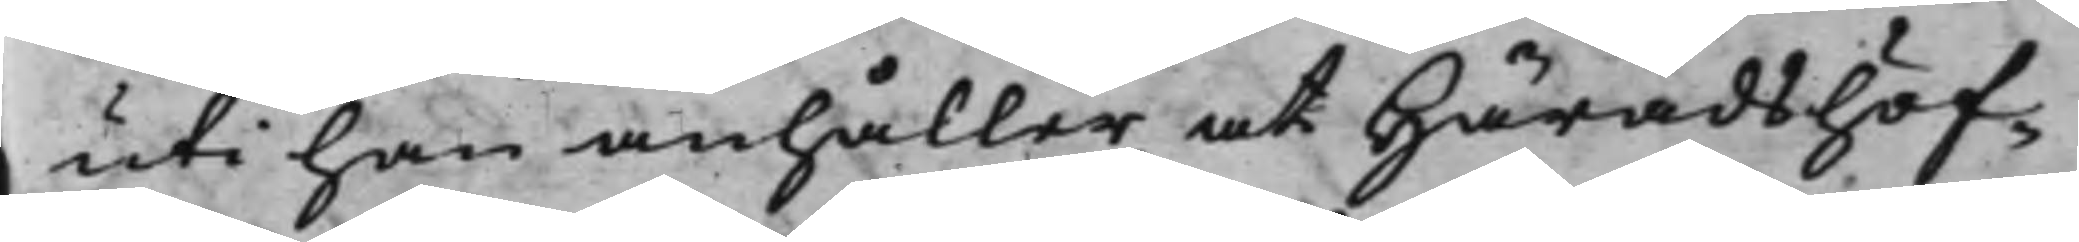uti han anhåller, at Häradshöf¬
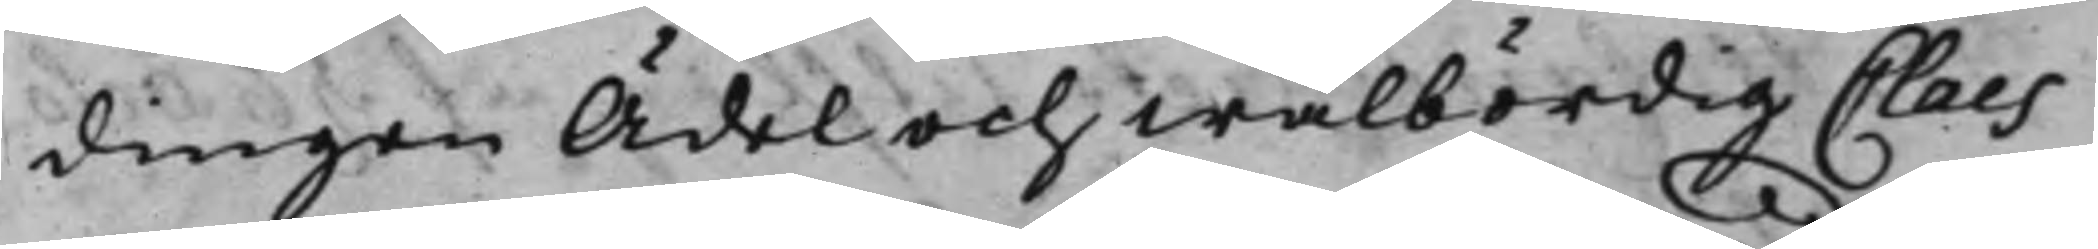dingen Ädel och Wälbördig Claes
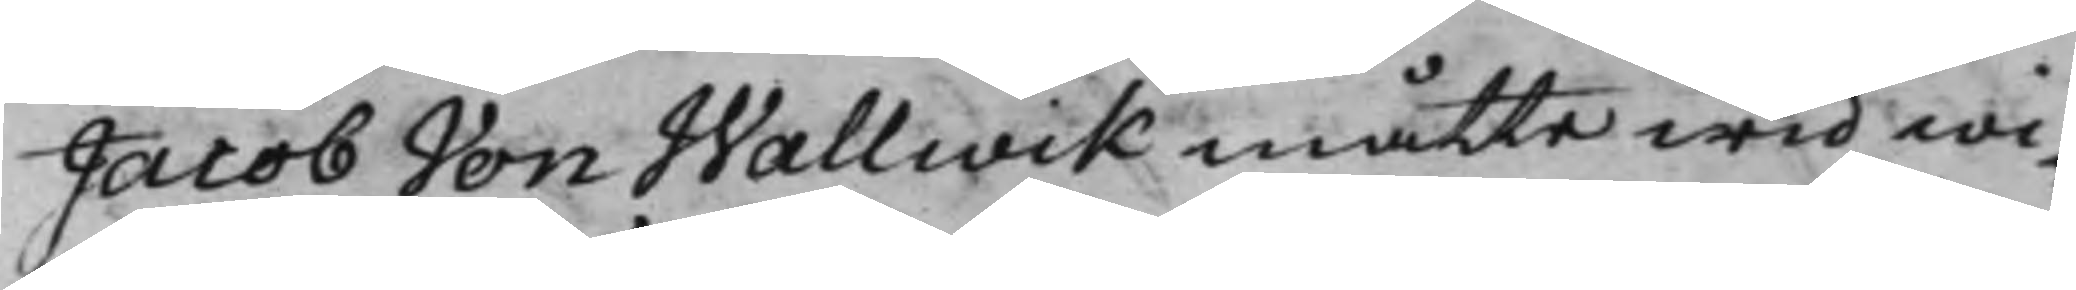Jacon Von Wallwik måtte wid wi¬
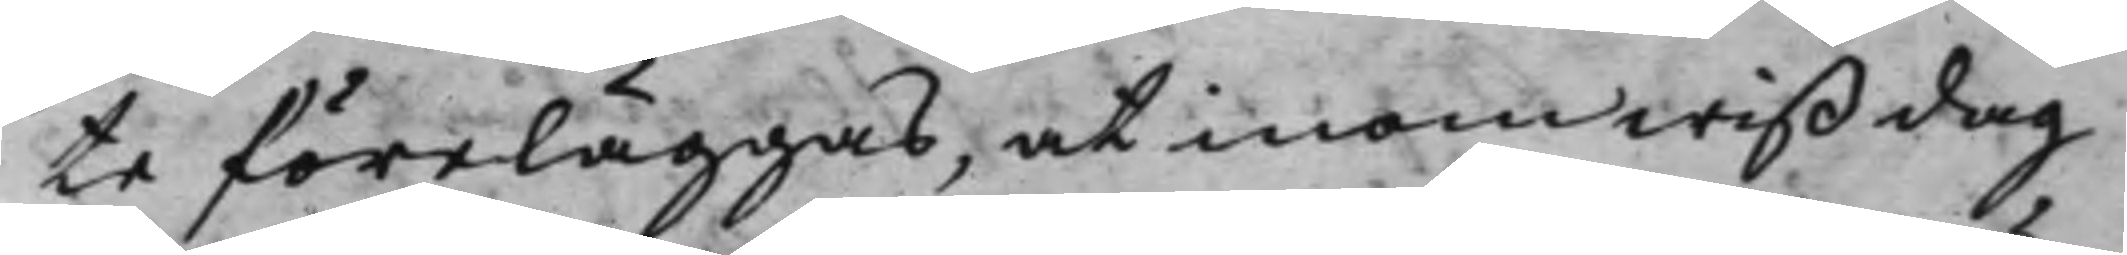te föreläggas, at inom wiß dag
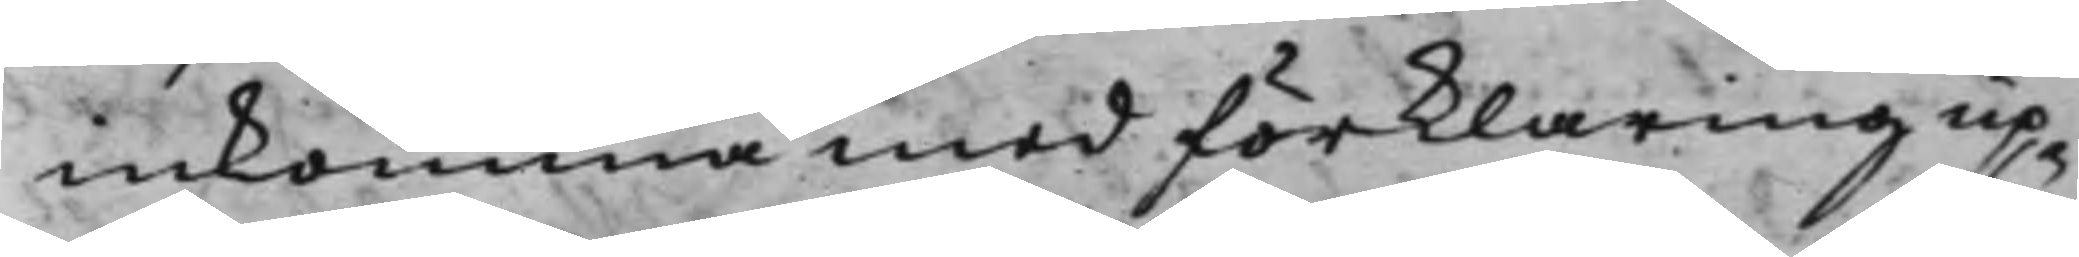inkomma med förklaring up¬
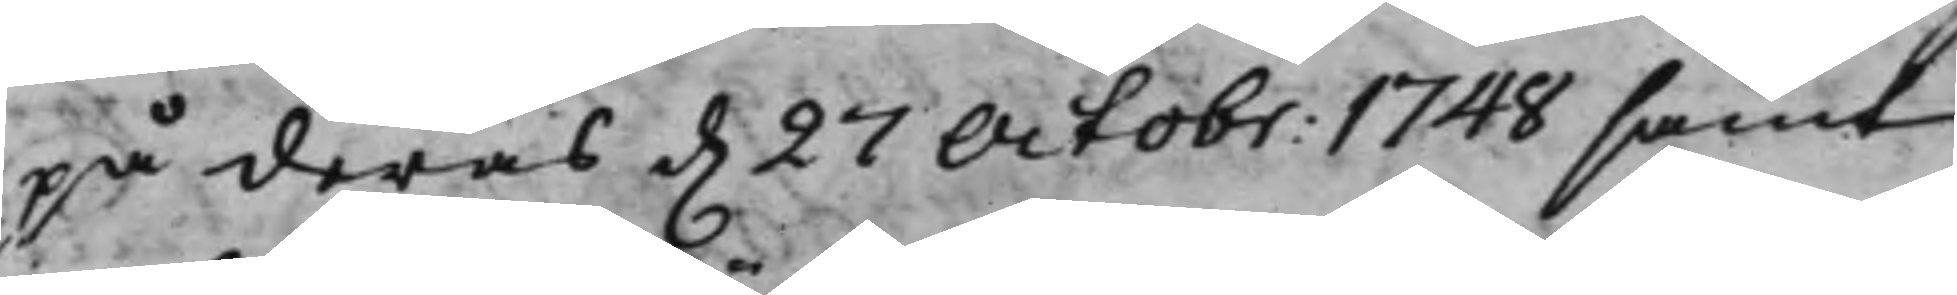på deras d. 27 Octobr: 1748 samt
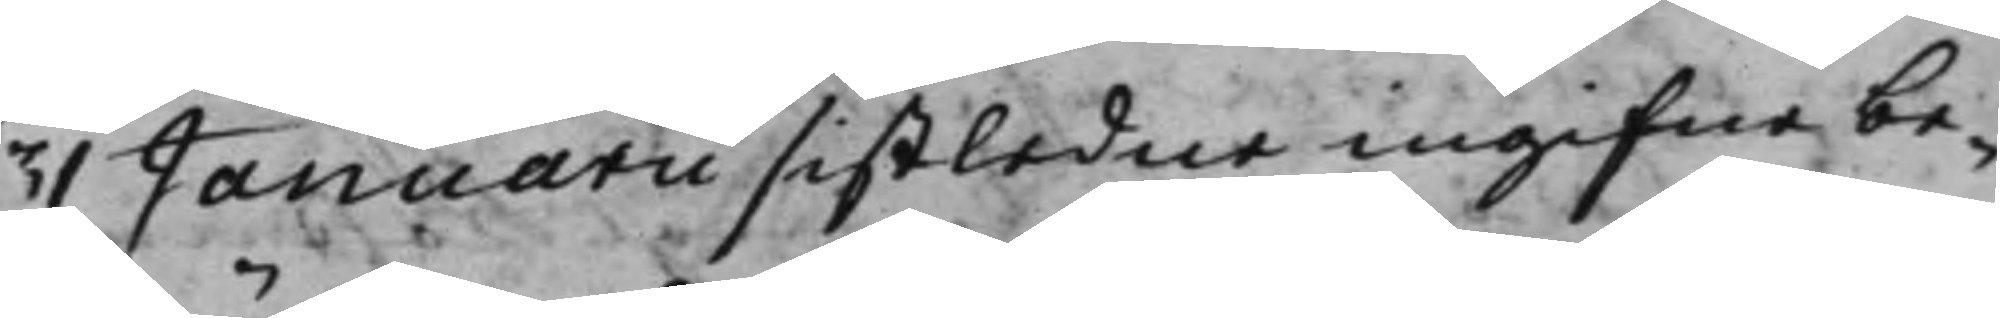31 Januarii sistledne ingifne be¬
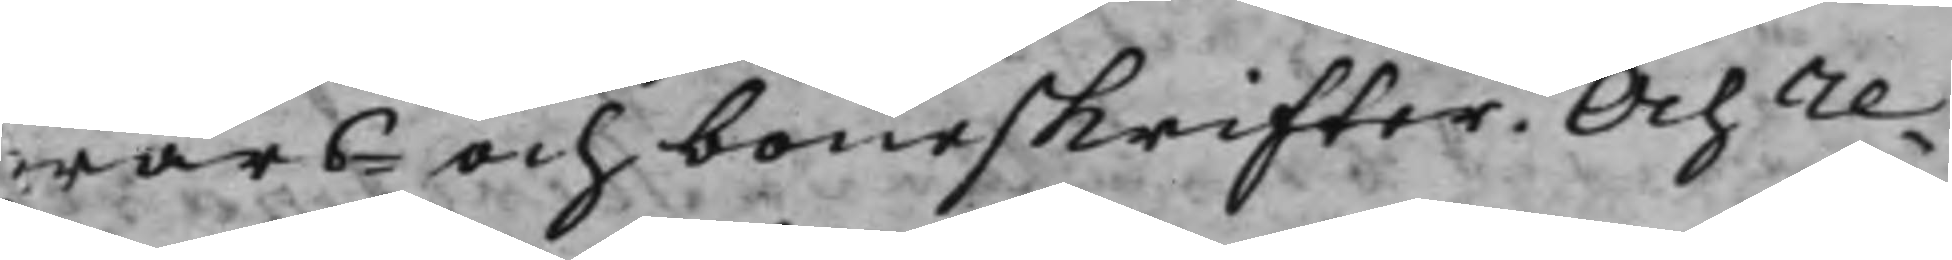wärs- och boneskrifter. Och re¬
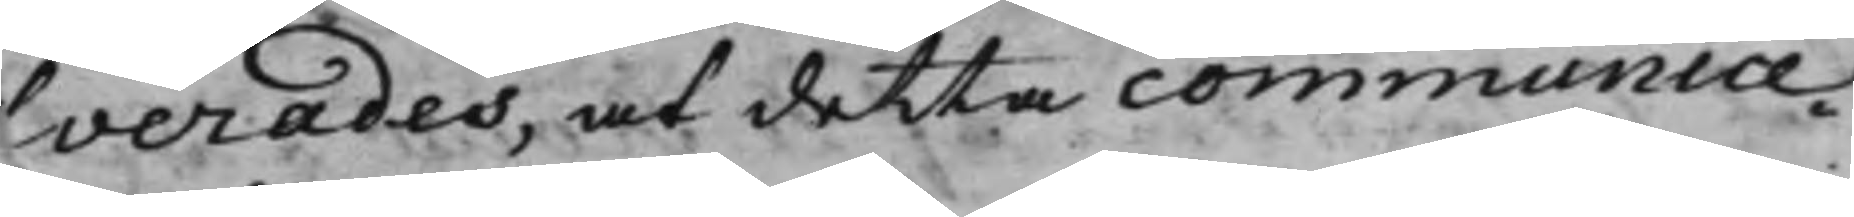lverades, at detta communice¬
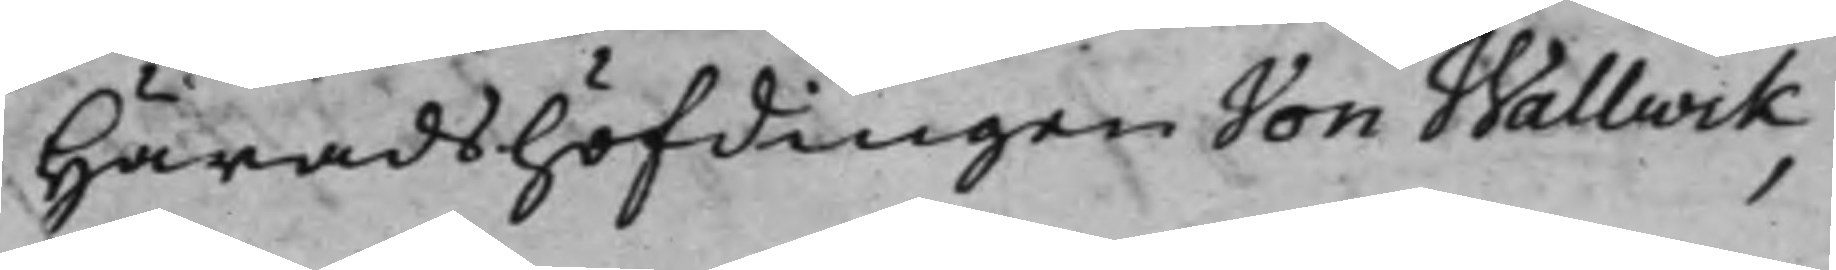 Häradshöfdingen Von Wallwik,
